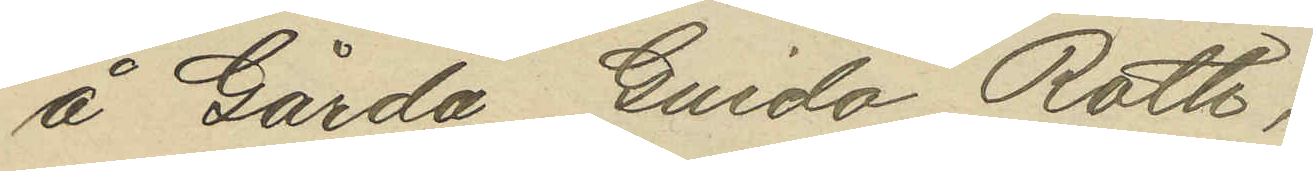å Gårda Guido Roth;
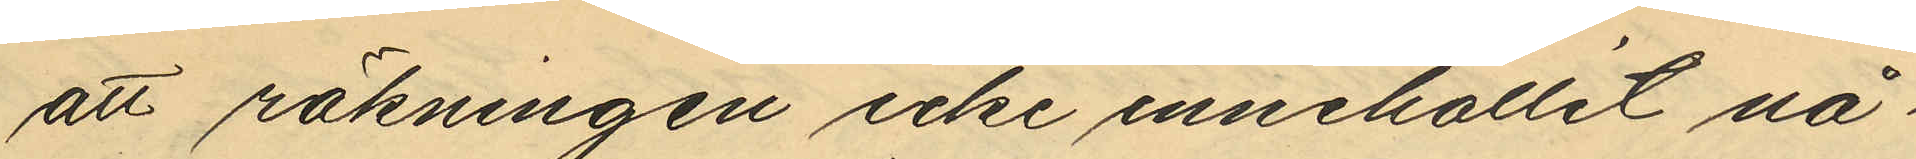att räkningen icke innehållit nå¬
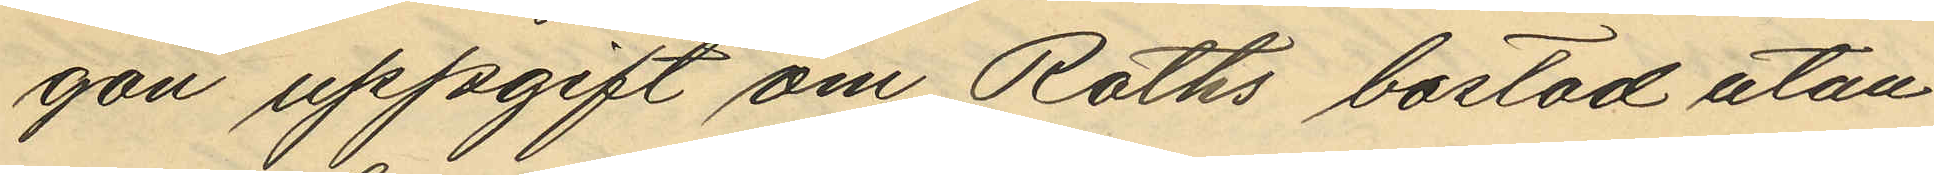gon uppgift om Roths bostad utan
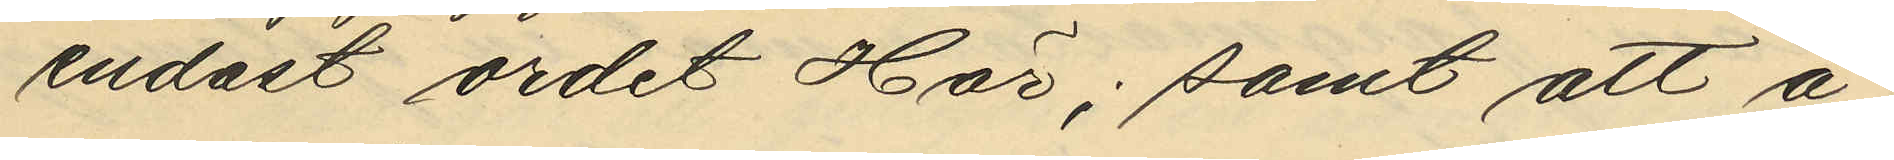endast ordet Här; samt att å
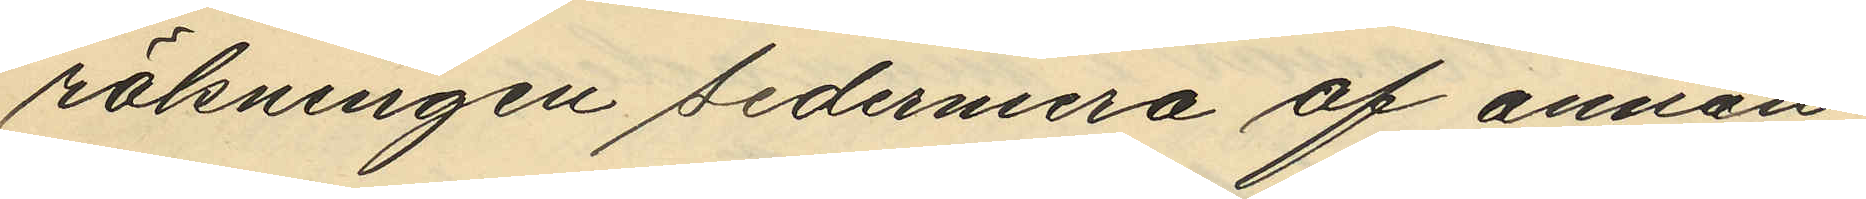räkningen sedermera af annan
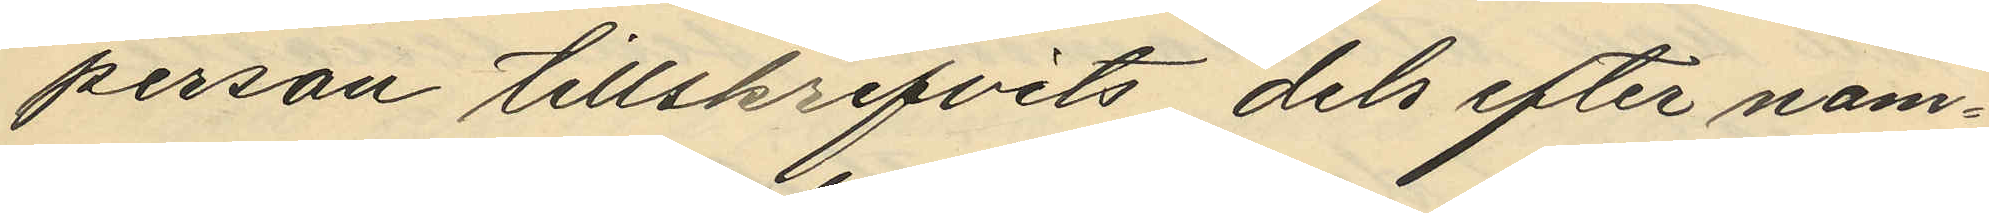person tillskrifvits dels efter nam¬
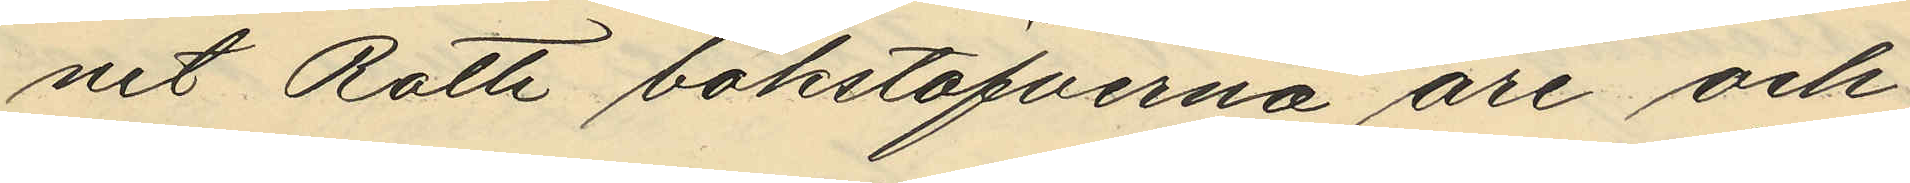net Roth bokstafverna are och
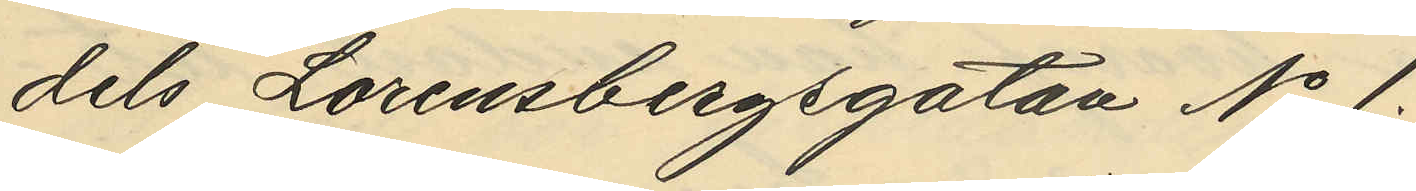dels Lorensbergsgatan No 1.
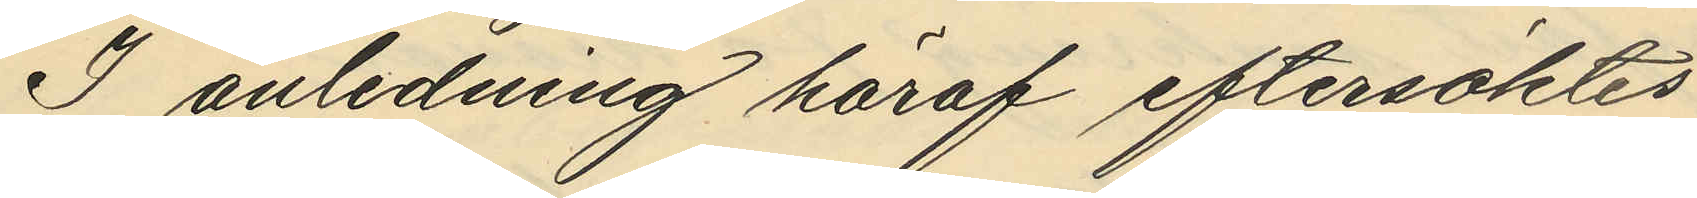I anledning häraf eftersöktes
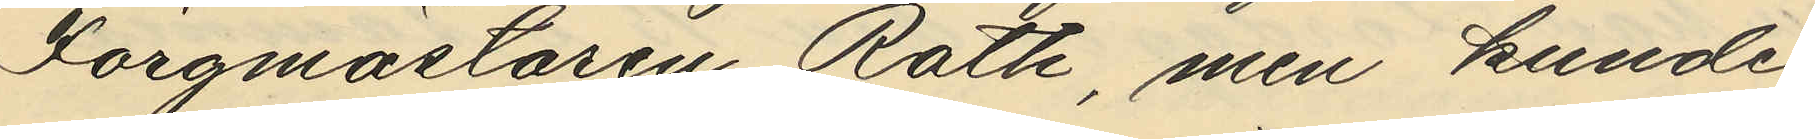Färgmästaren Roth, men kunde
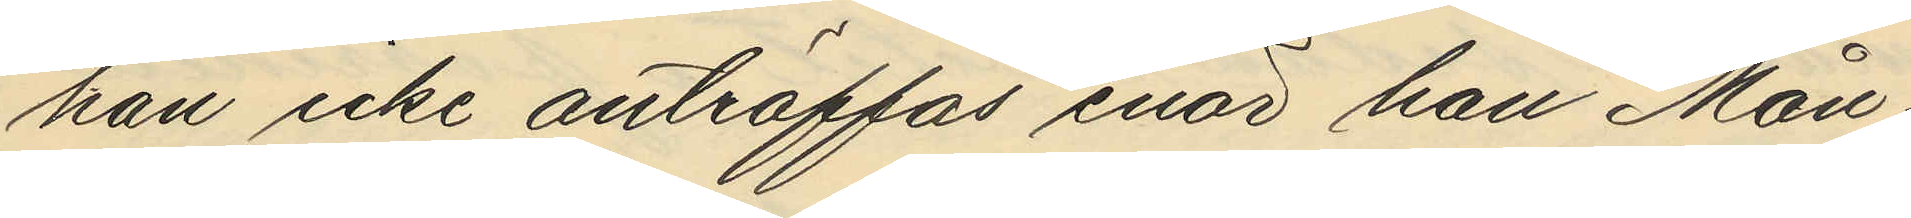han icke anträffas enär han Mån¬
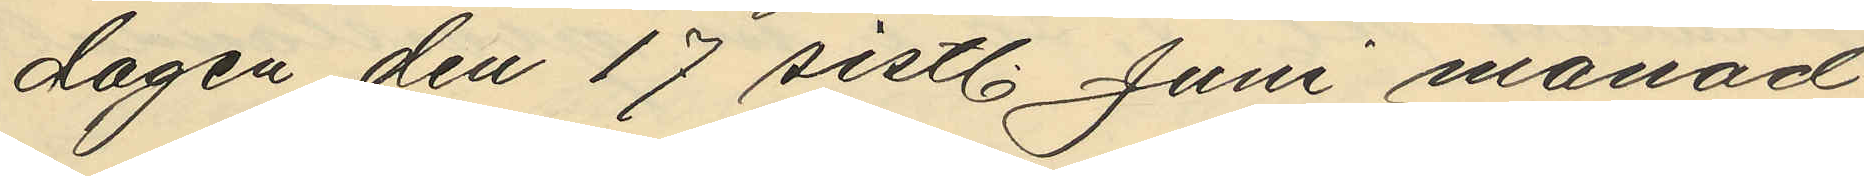dagen den 17 sistl. Juni månad
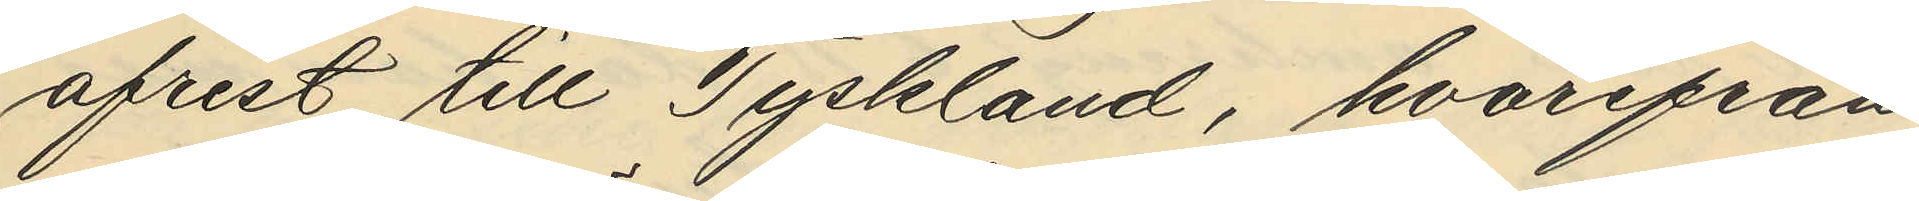afrest till Tyskland, hvarifrån
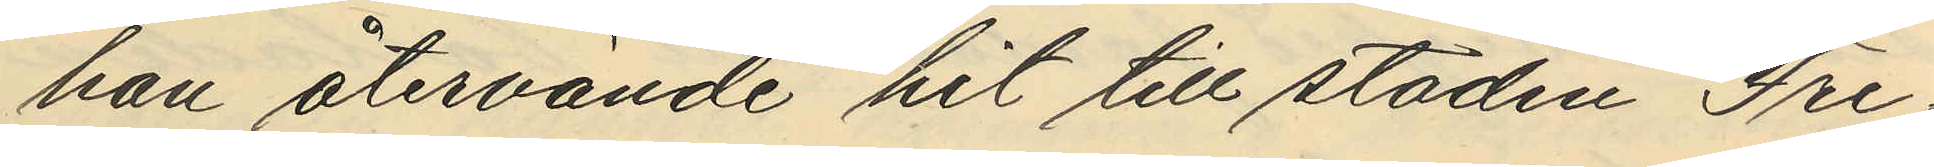han återvände hit till staden Fre¬
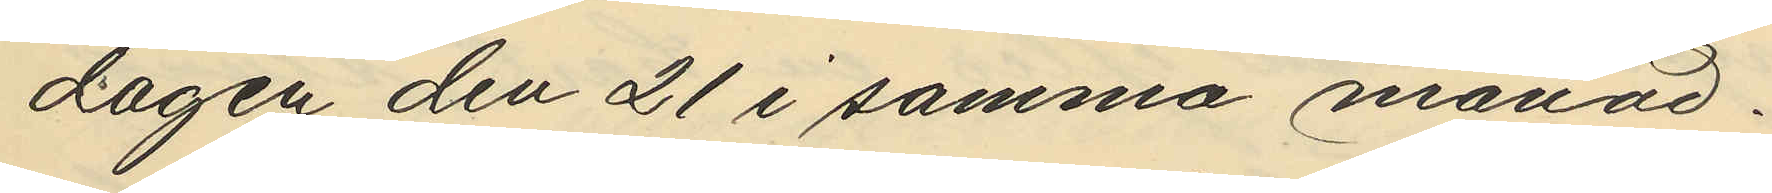dagen den 21 i samma månad.
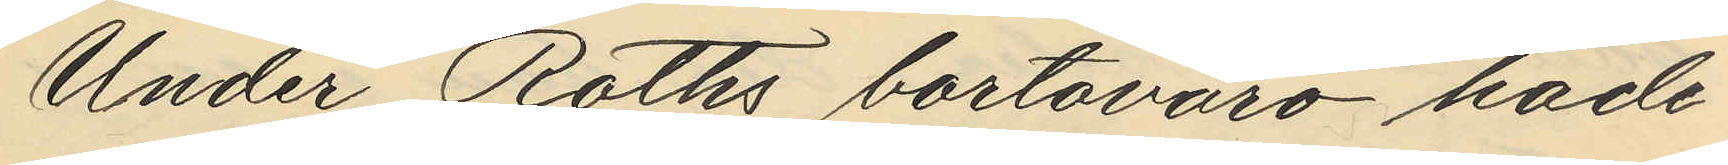Under Roths bortsvaro hade
